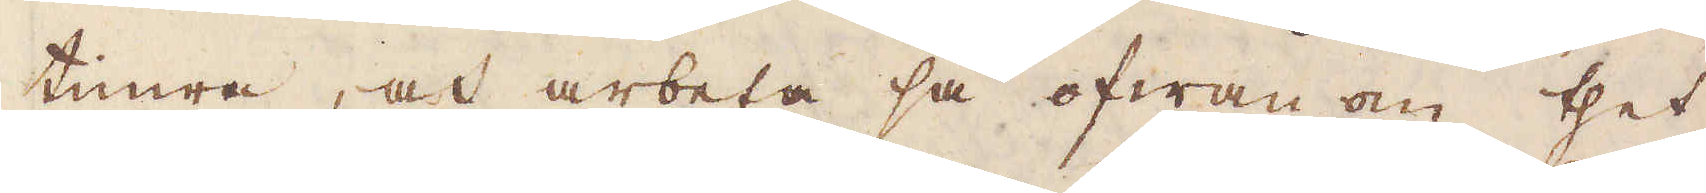timra, och arbeta så ofwan om thet
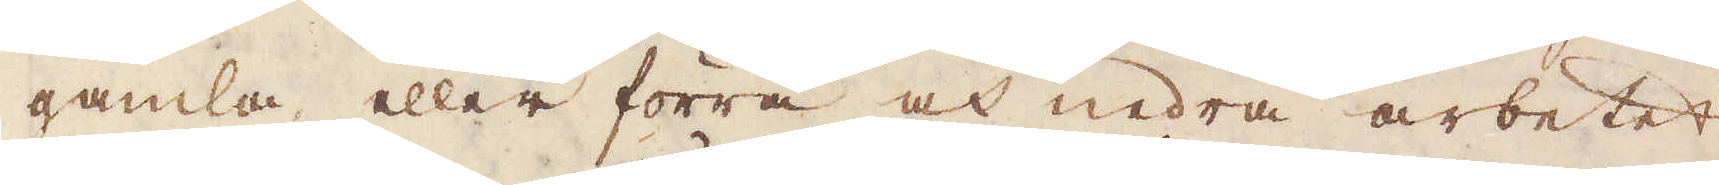gamla eller förra och nedra arbetet,
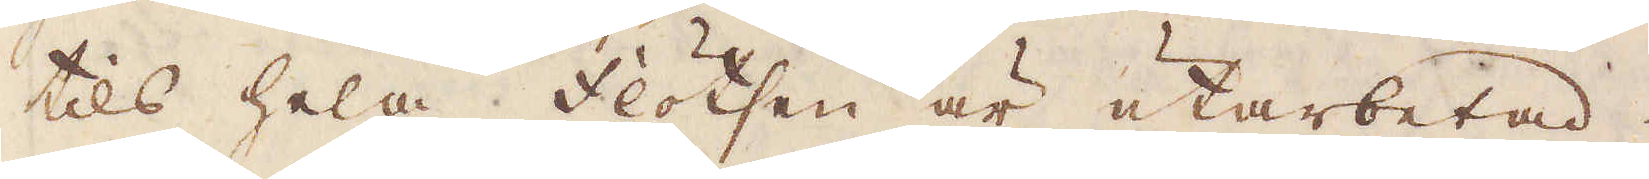tils hela flötsen är utarbetad.
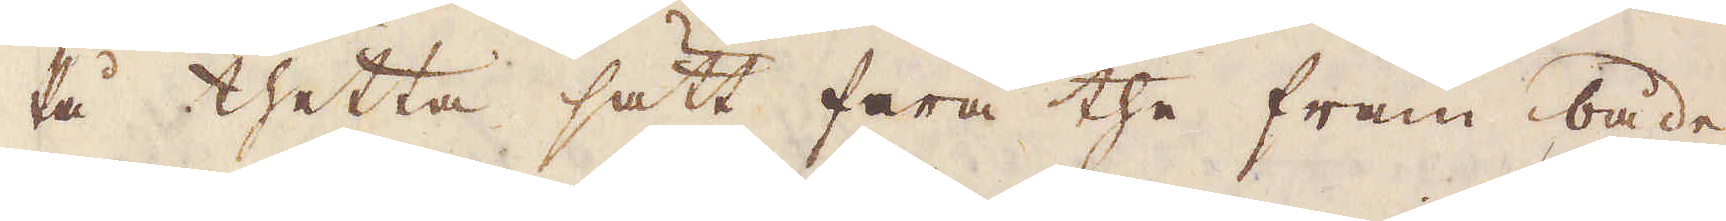På thetta sätt fara the fram både
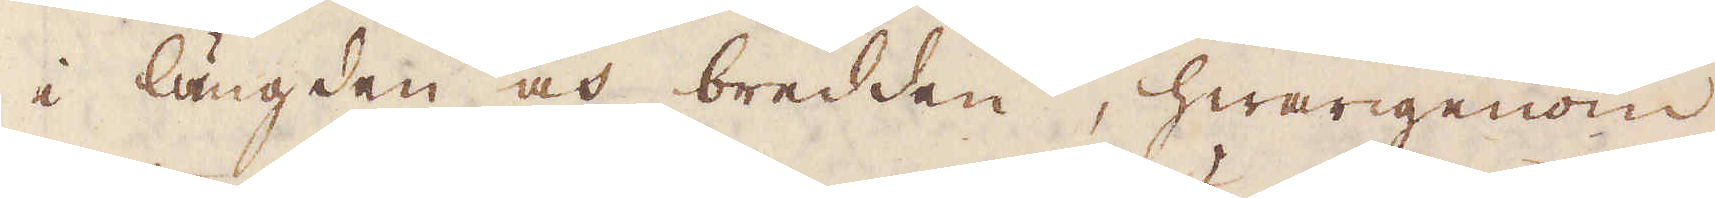i längden och bredden, hwarigenom
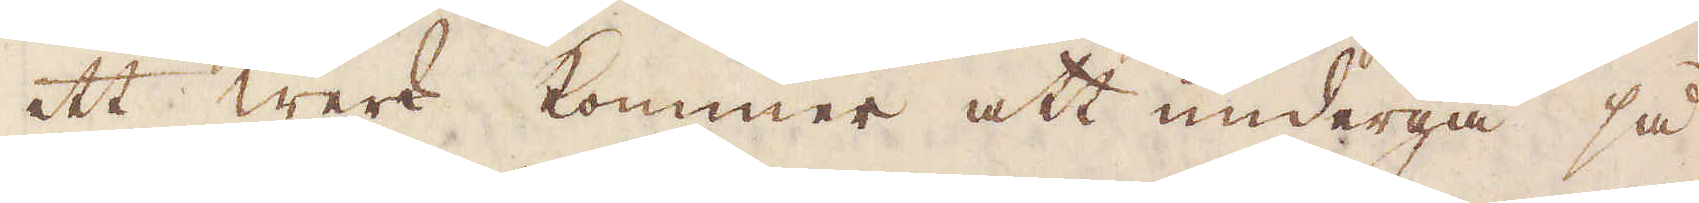ett werk kommer att undergå så
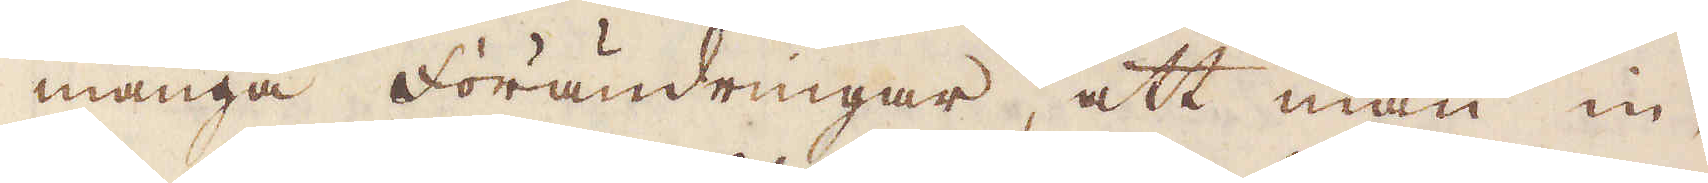många förändringar, att man in-
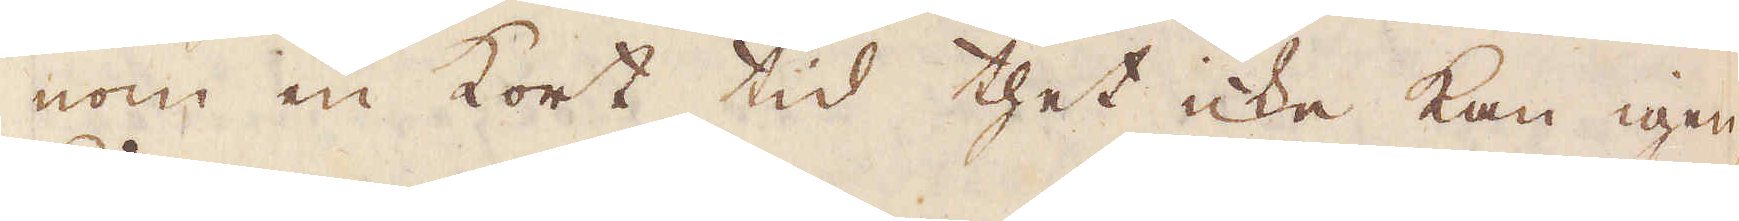nom en kort tid thet icke kan igen-
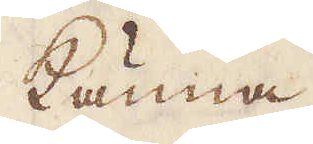känna.
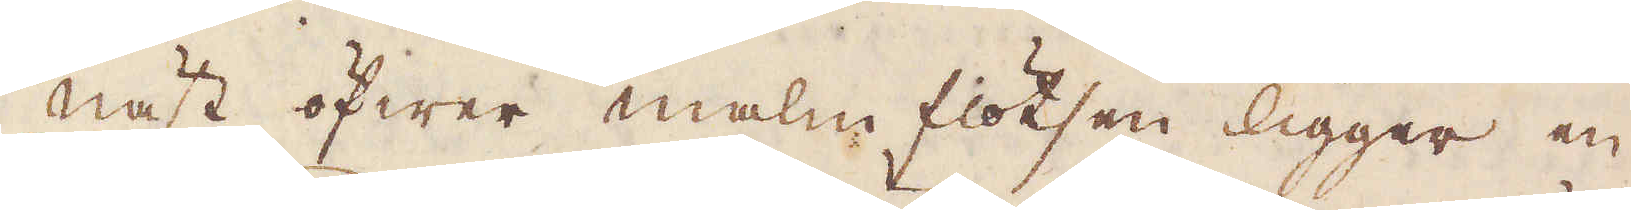Näst öfwer malm flötsen ligger en
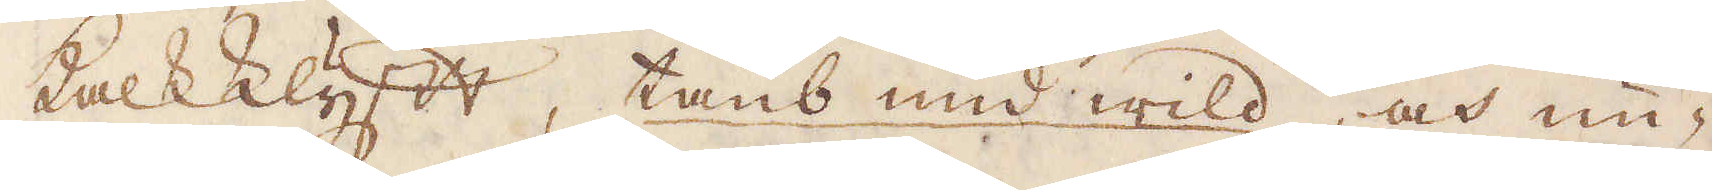kalkklyft, taub und wild, och un-
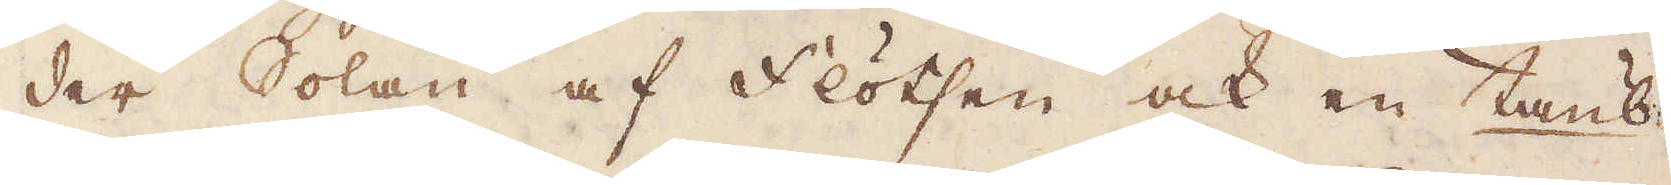der Solan af Flötsen ock en taub-
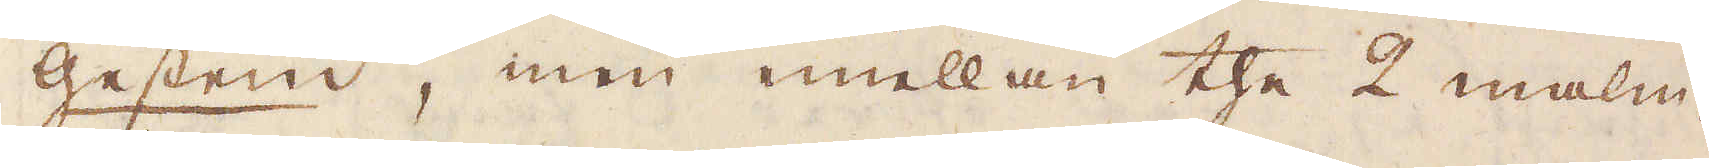gestein, men emellan the 2 malm-
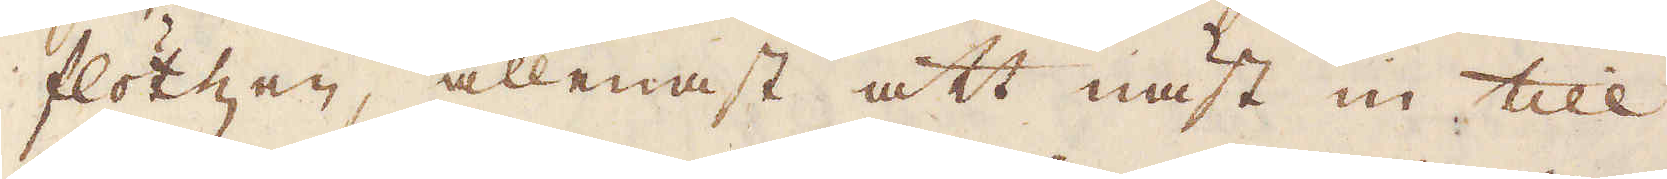flötzen, allenast att näst in till
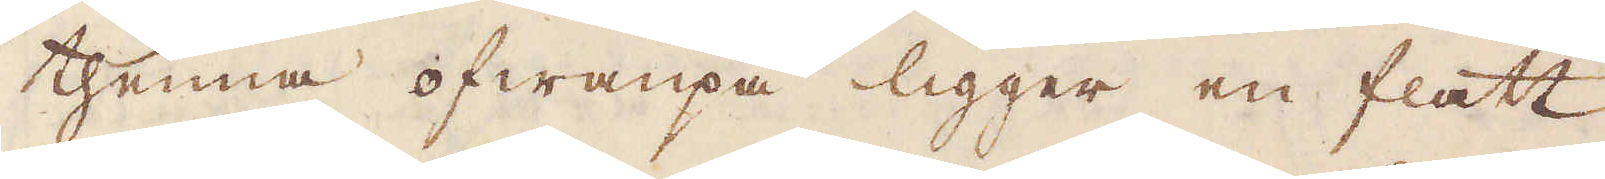thenna ofwanpå ligger en flatt
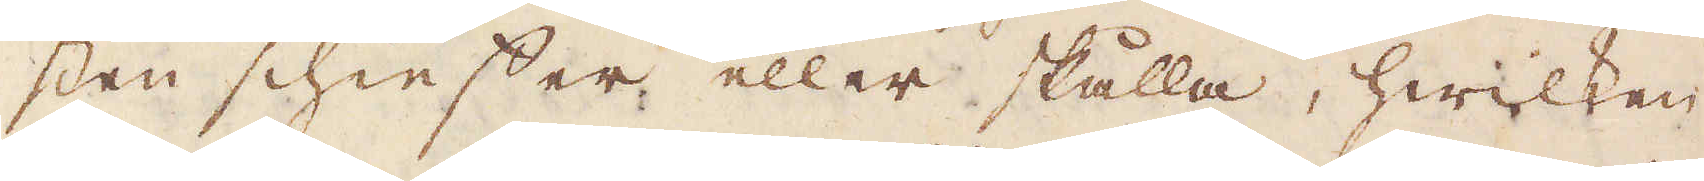sten schieffer eller skålla, hwilken
